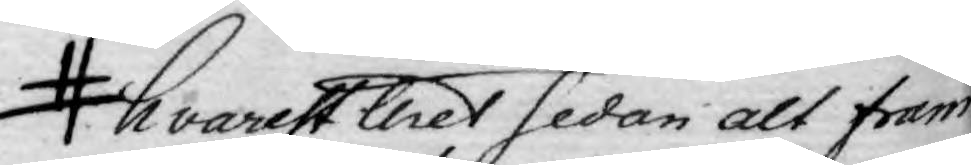hvarest thes sedan alt fram¬
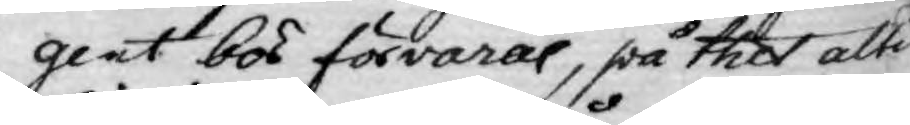gent bör förvaras, på thet altid
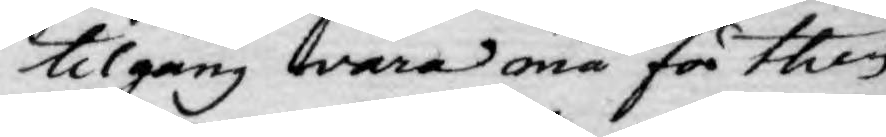tilgång wara må få thes,
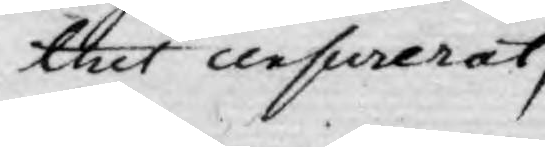thet censurerat,
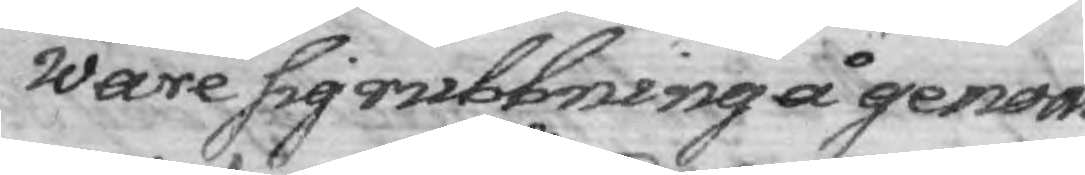ware sig rubbning å genom¬
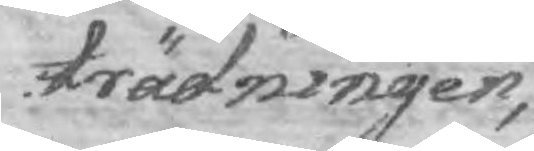trädningen,
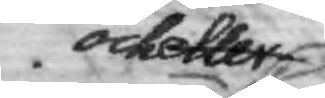och eller
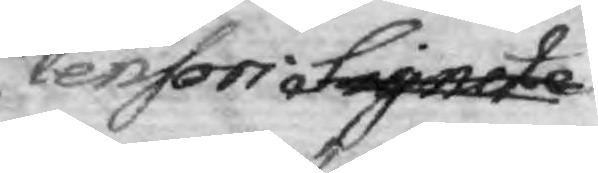Censors Signete
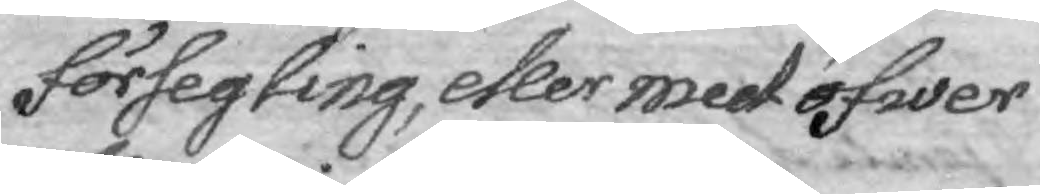försegling, eller med öfwer
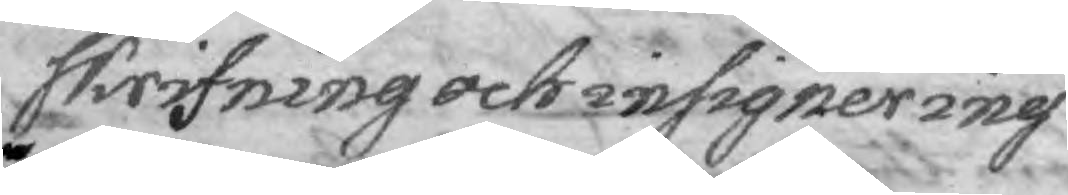skrifning och insignering
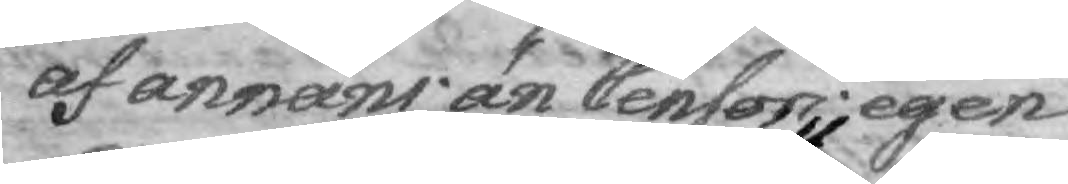af annans än Censors egen
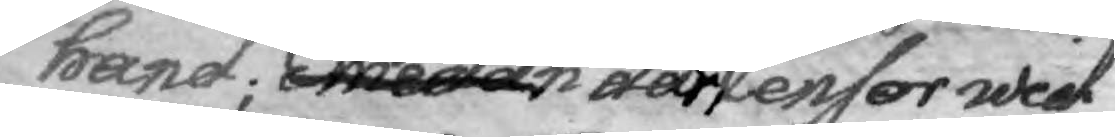hand; Emedan där Och skall där ett Censor wid
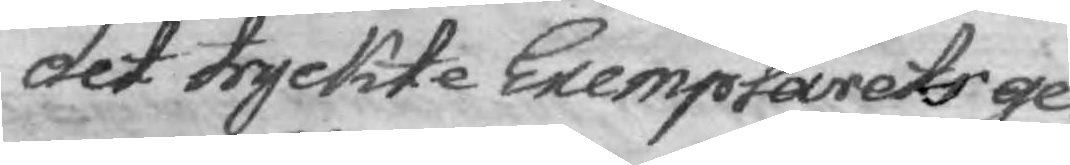det tryckte Exemplarets ge¬
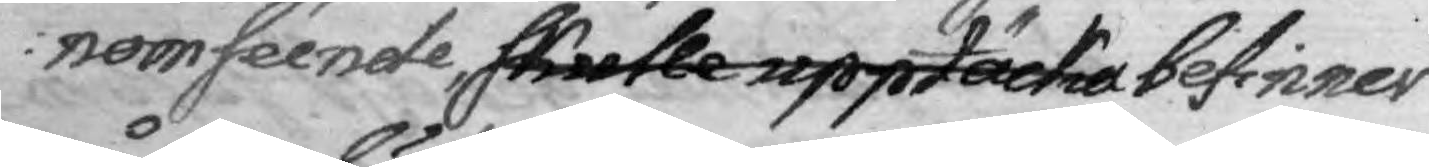nomseende, skulle upptäcka befinner
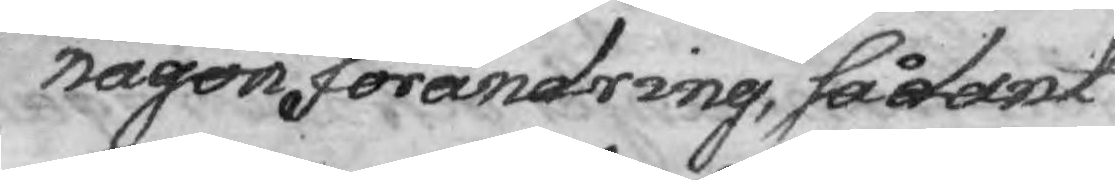någon förändring, sådant
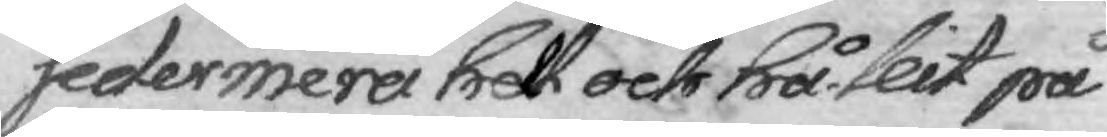sedermera helt och hållit på
